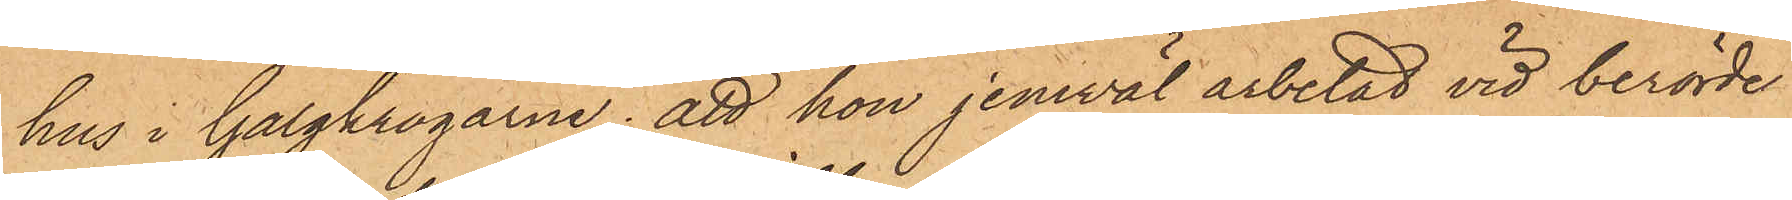hus i Galgkrogarne; att hon jemväl arbetat vid berörde
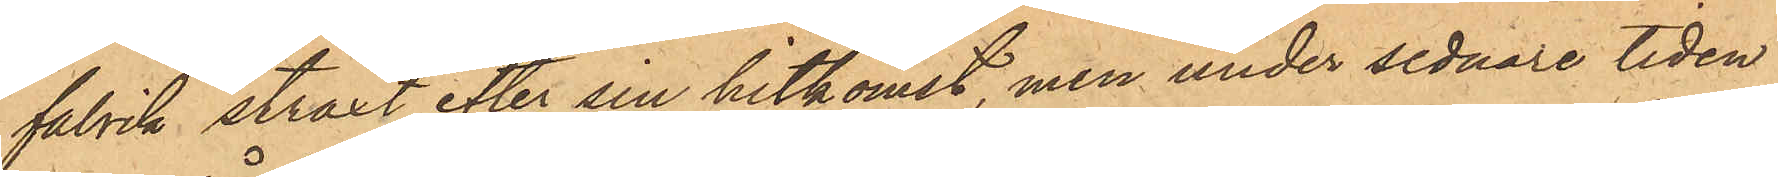fabrik straxt efter sin hitkomst, men under sednare tiden
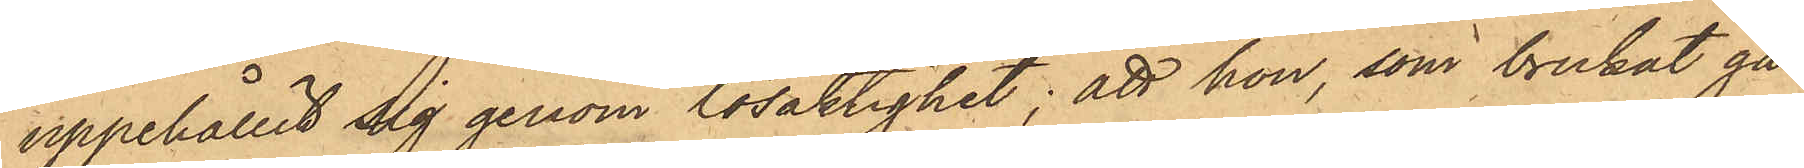uppehållit sig genom lösaktighet; att hon, som brukat gå
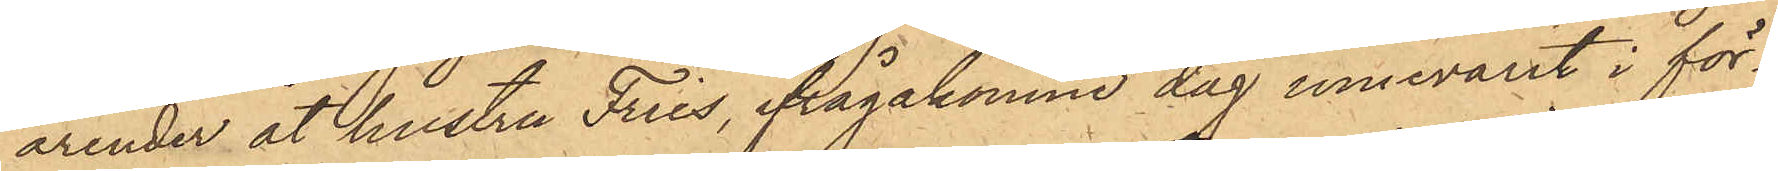ärender åt hustru Fries, ifrågakomne dag innevarit i för¬
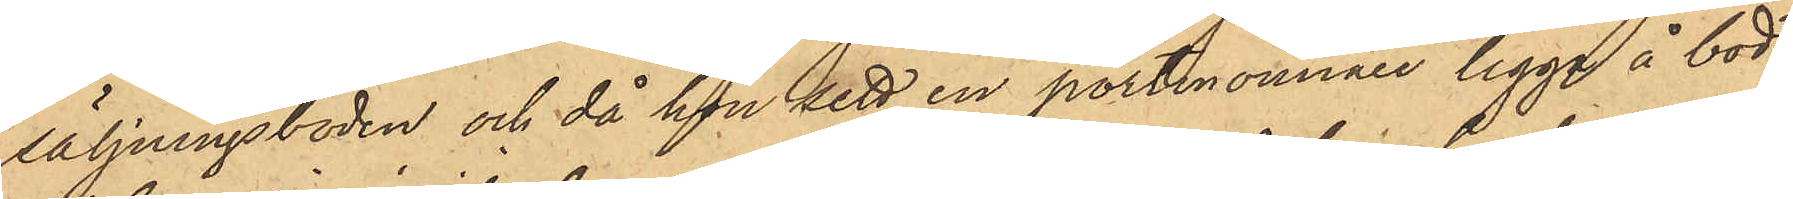säljningsboden och då hon sett en portmonnaie ligga å bod¬
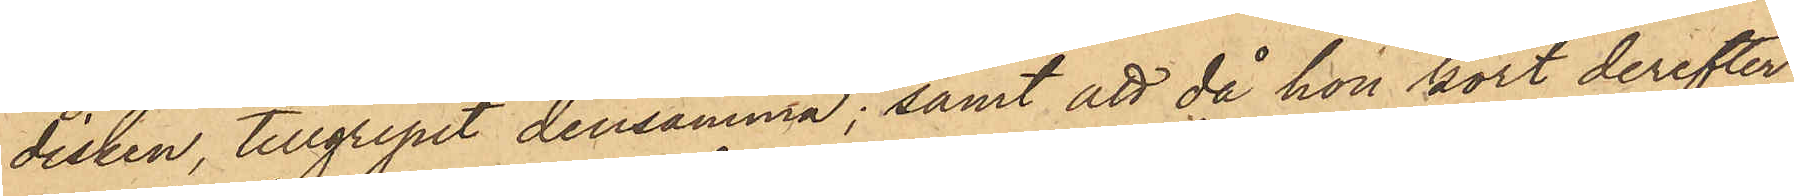disken tillgripit densamma; samt att då hon kort derefter
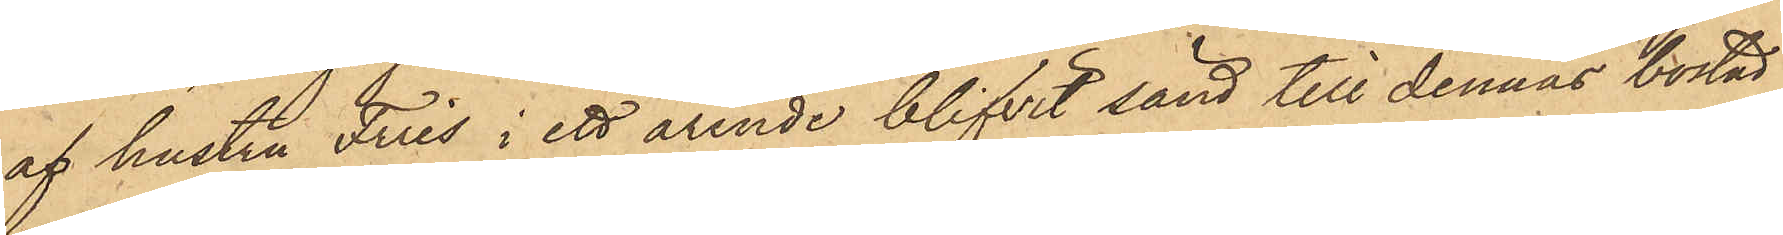af hustru Fries i ett ärende blifvit sänd till dennas bostad
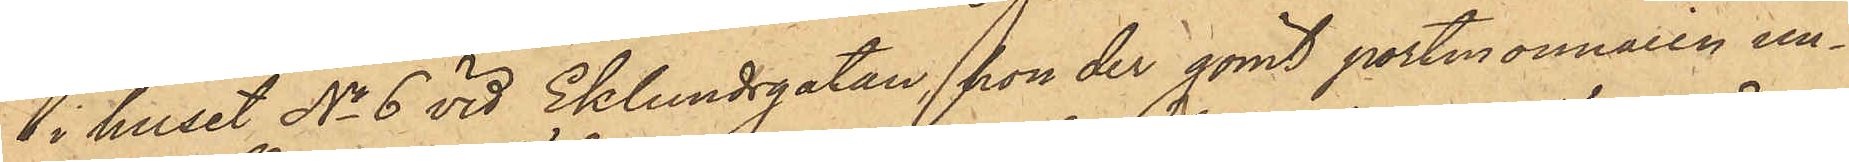 i huset No 6 vid Eklundsgatan, hon der gömt portmonnaien un¬
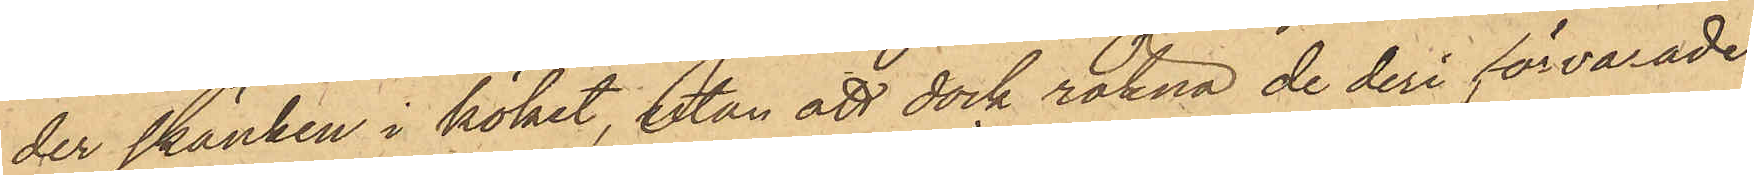der skänken i köket, utan att dock räkna de deri förvarade
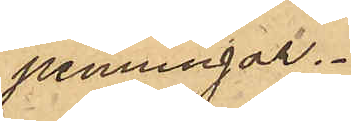penningar.
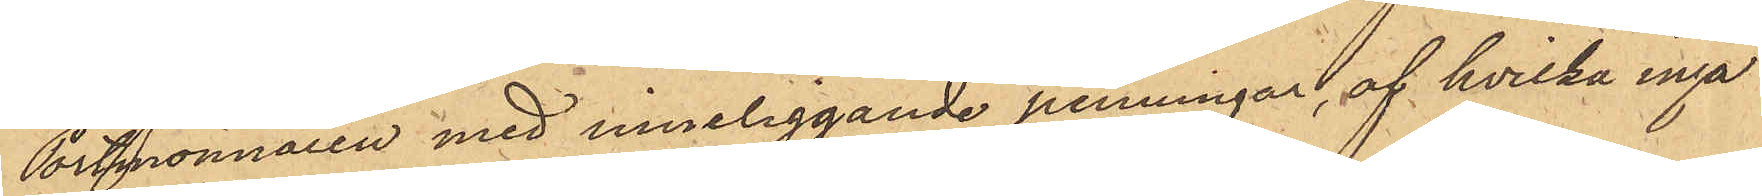Portmonnaien med inneliggande penningar, af hvilka inga
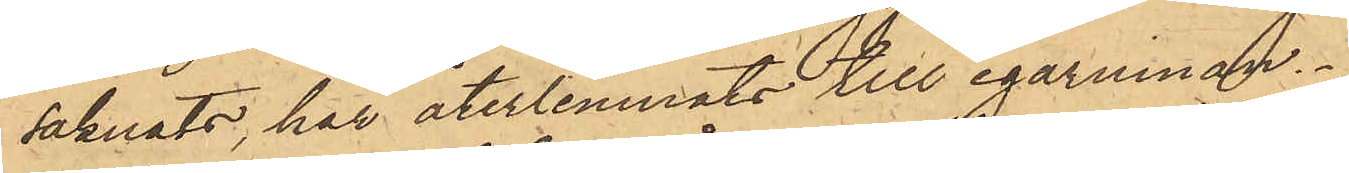saknats, har återlemnats till egarinnan.
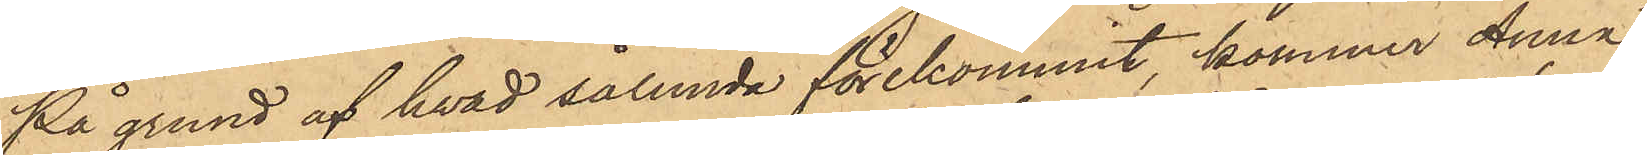På grund af hvad sålunda förekommit kommer Anna
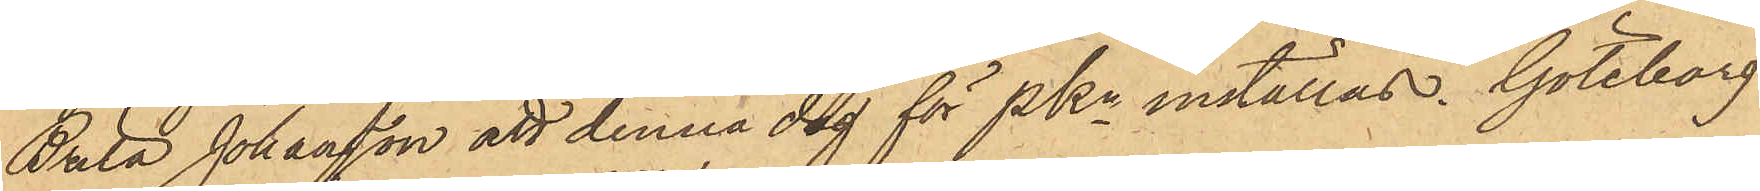Brita Johansson att denna dag för Pkn inställas. Göteborg
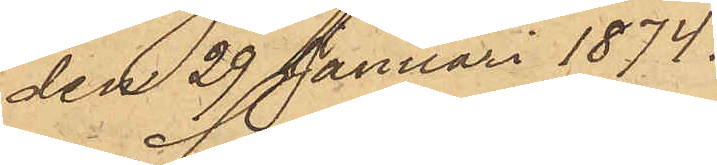den 29 Januari 1874.
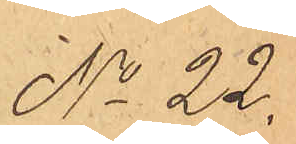No 22.
